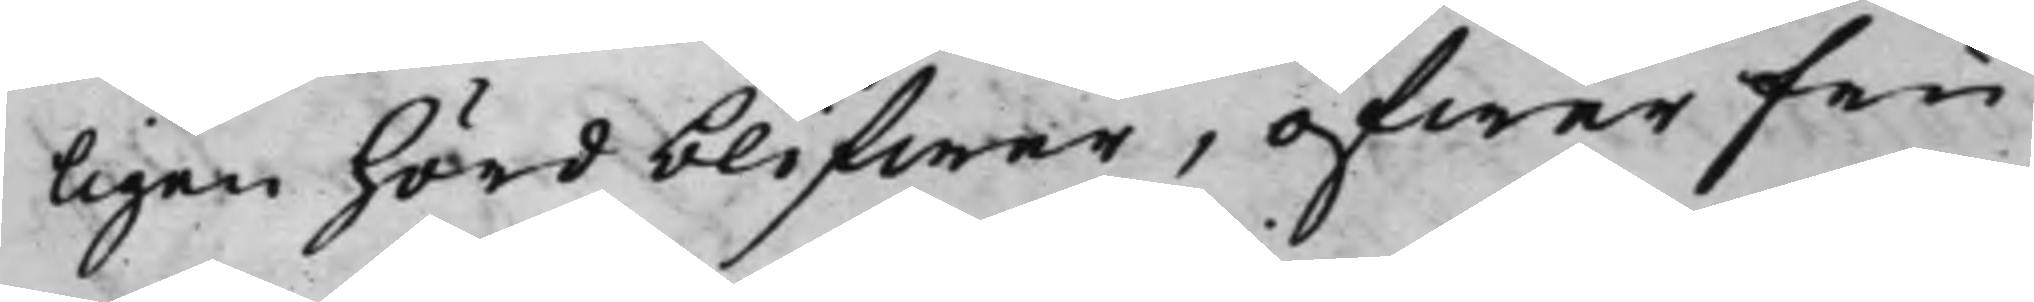ligen hörd blifwer, öfwer Fru
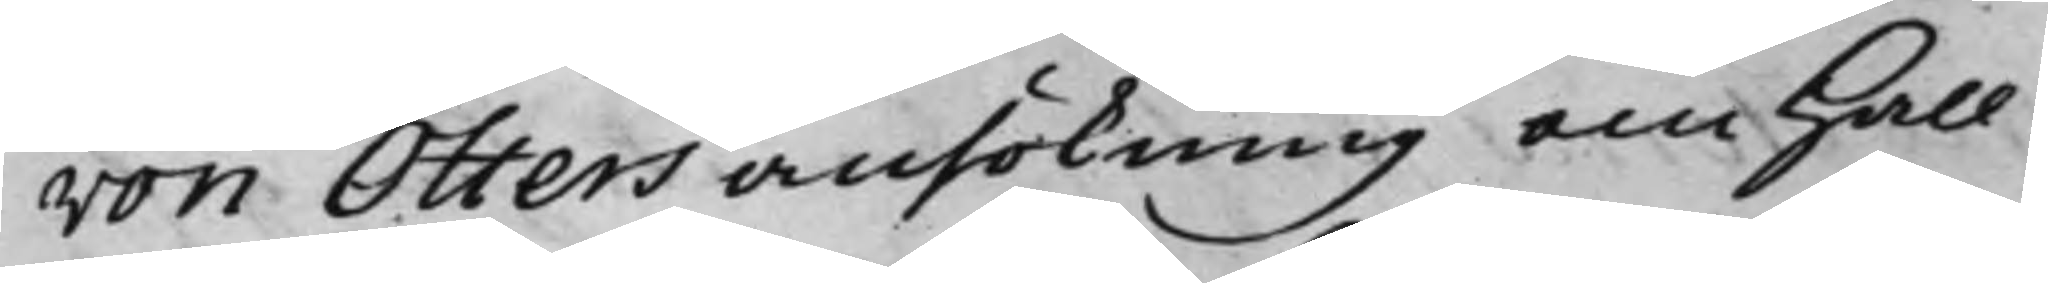von Otters ansökning om Hall¬
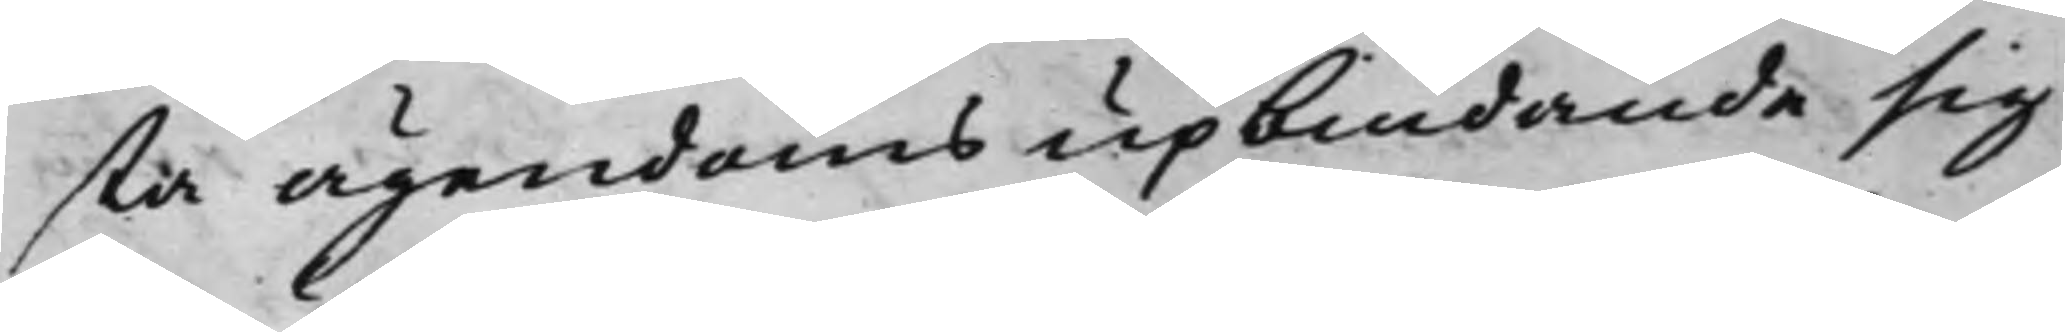sta ägendoms upbindande sig
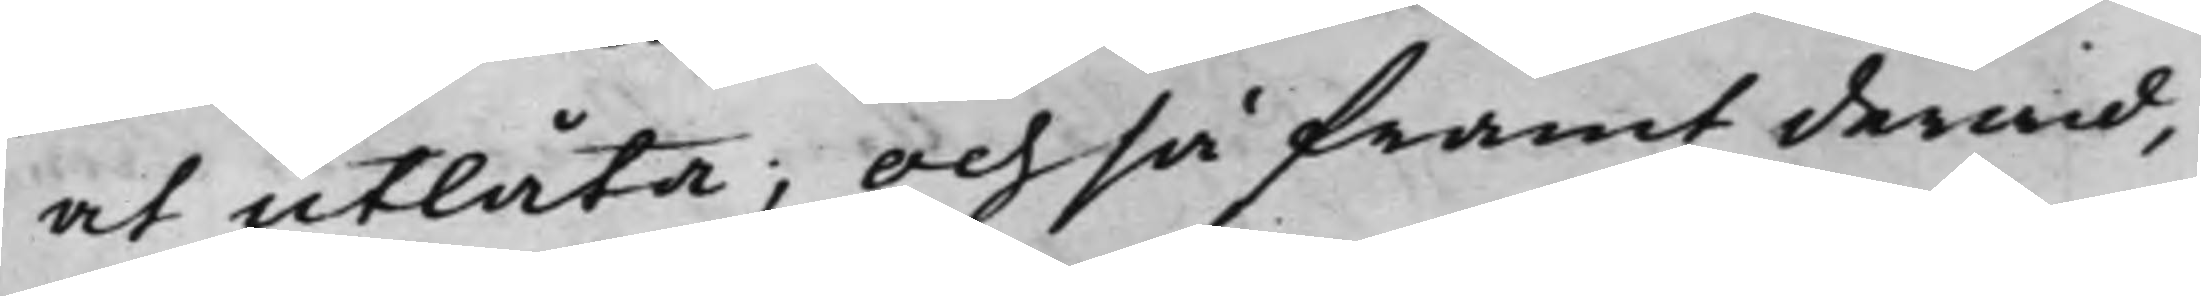at utlåta; Och så framt derwid,
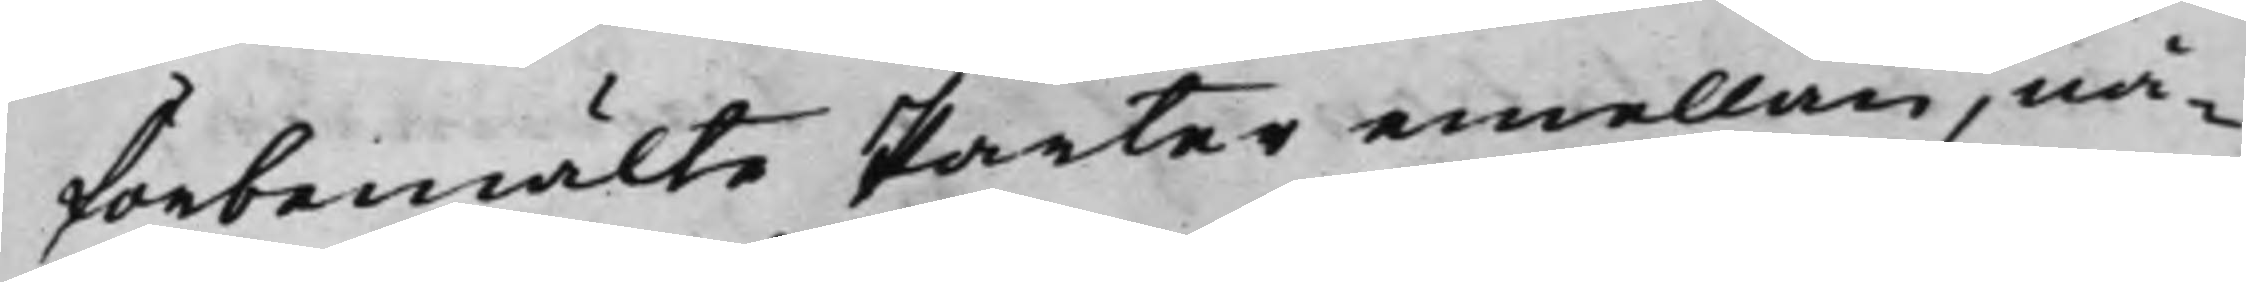förbemälte Parter emellan, nå¬
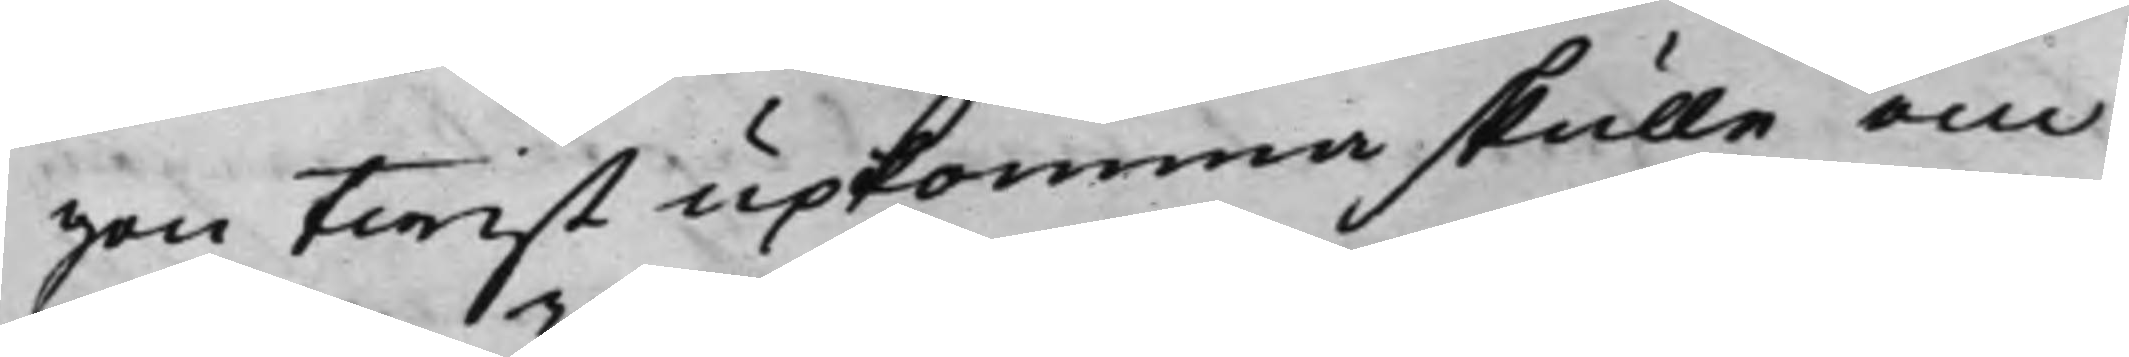gon twist upkomma skulle om
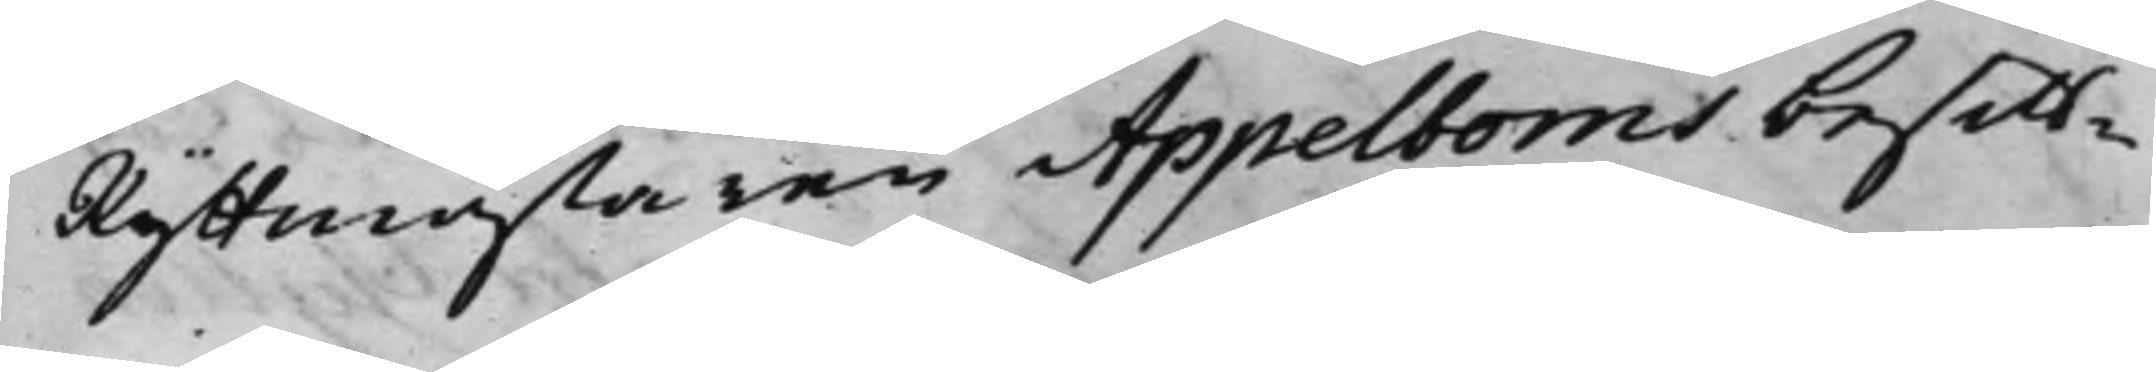Ryttmästaren Appelboms besitt¬
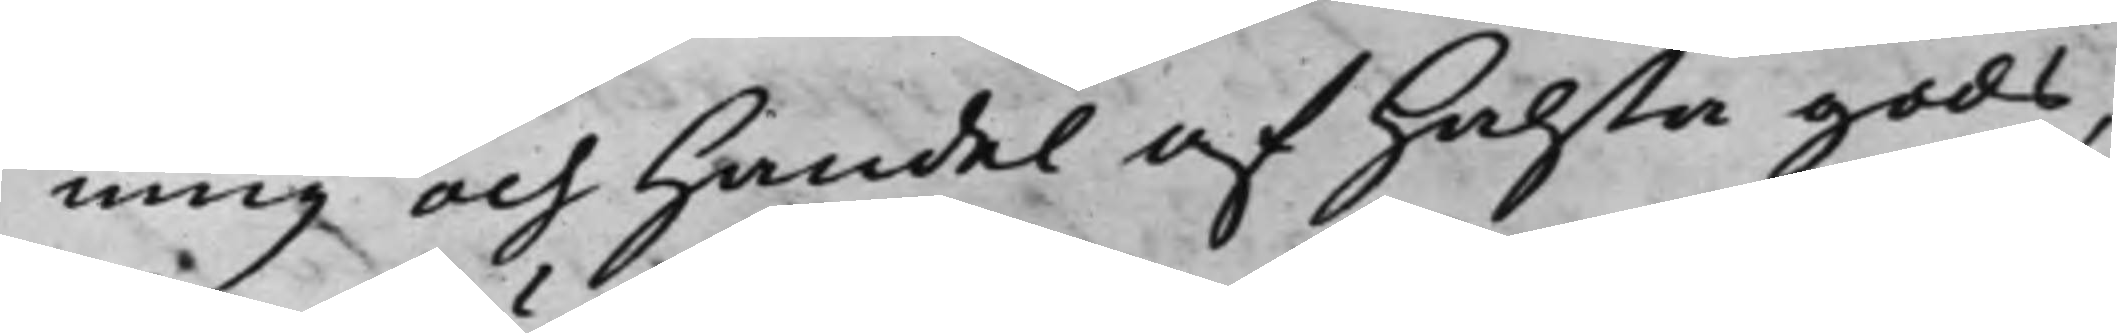ning och Handel af Halsta gods,
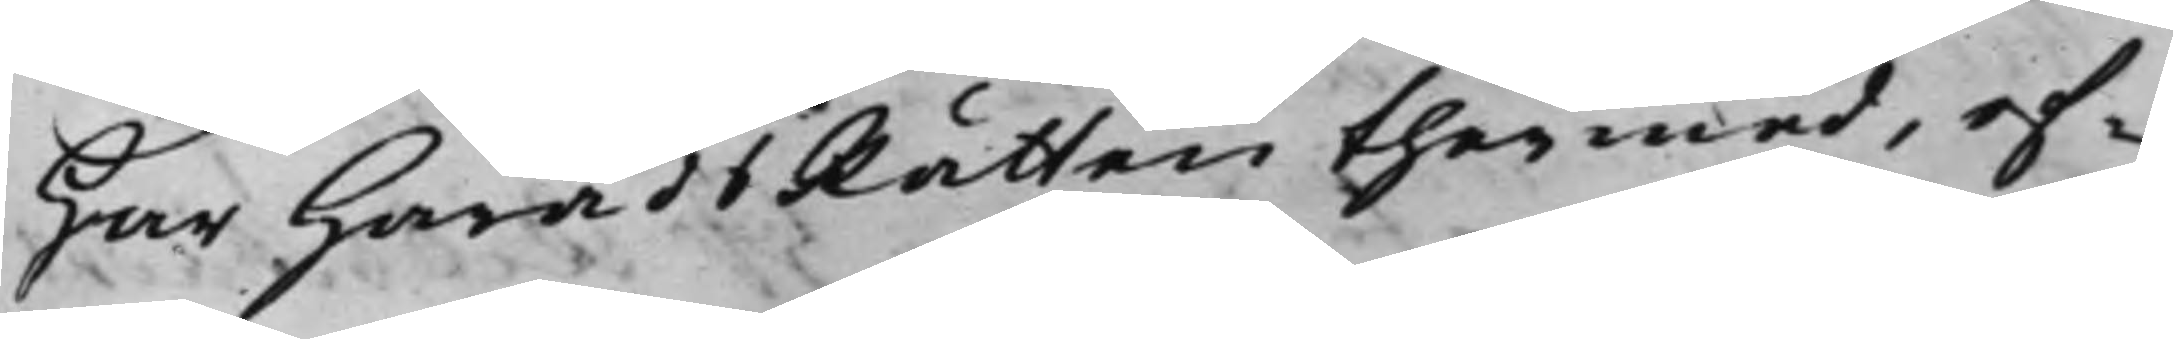har HäradsRätten thermed, ef¬
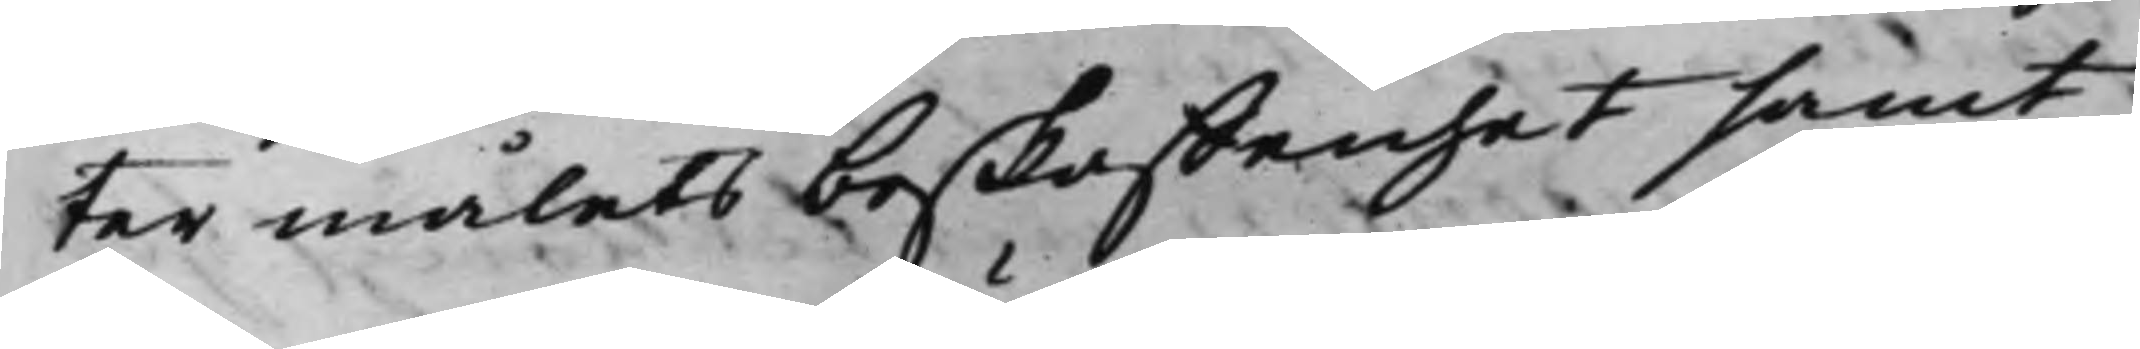ter målets beskaffenhet samt
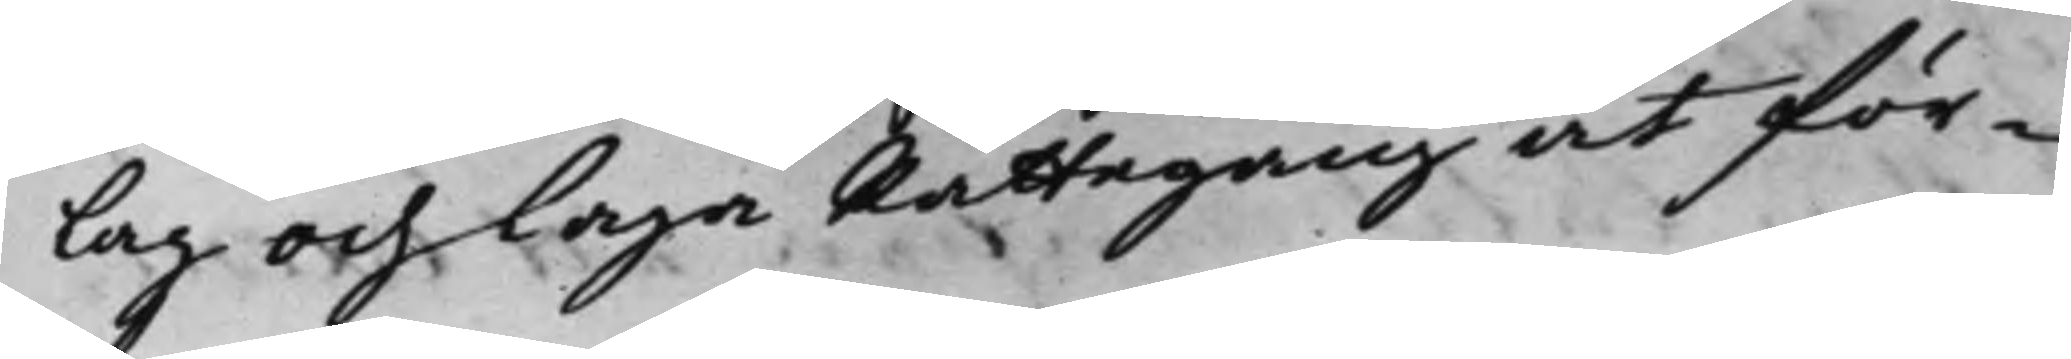lag och laga Rättegång at för¬
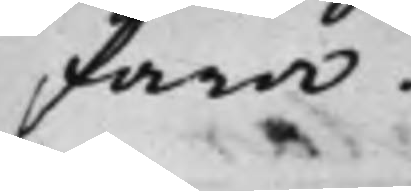fara.
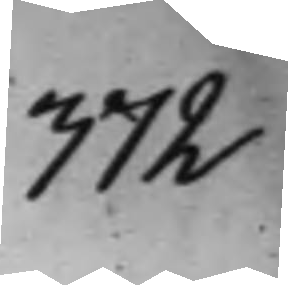372
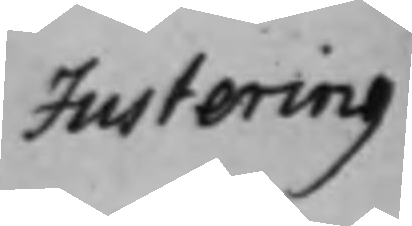Justering
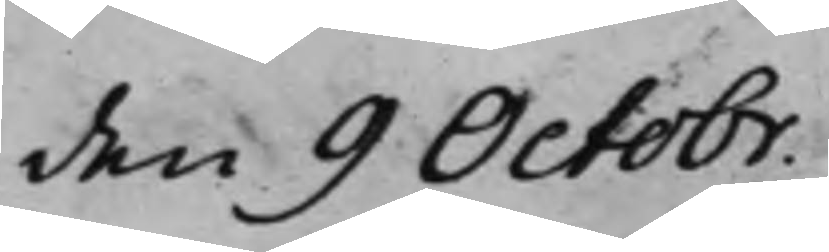den 9 Octobr.
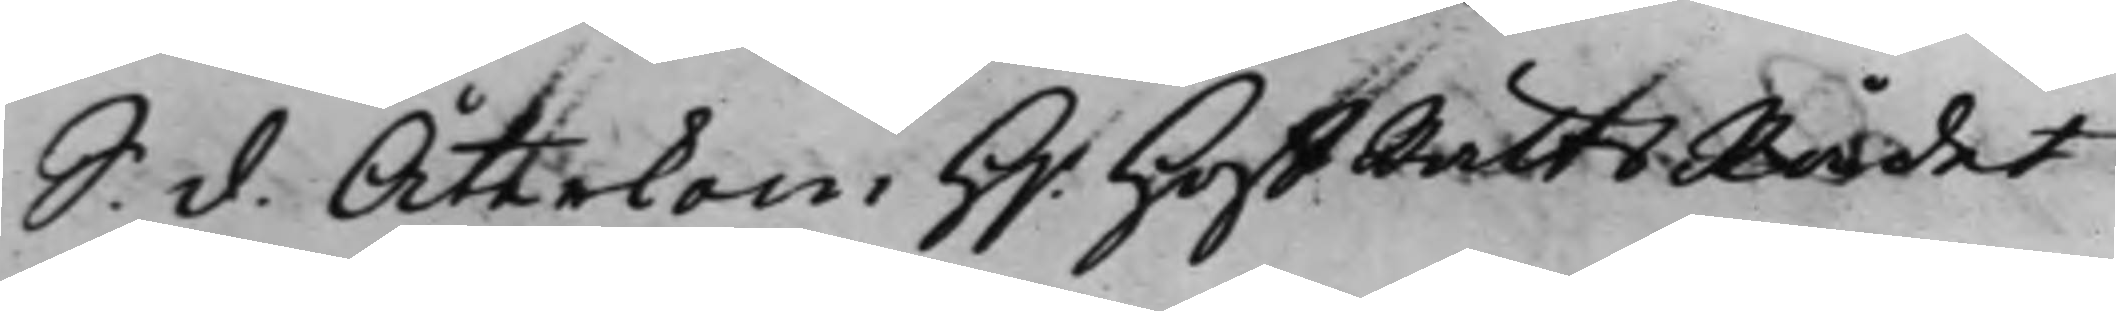S. d. Återkom H.r HoffRättsRådet
